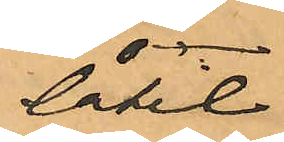låtit
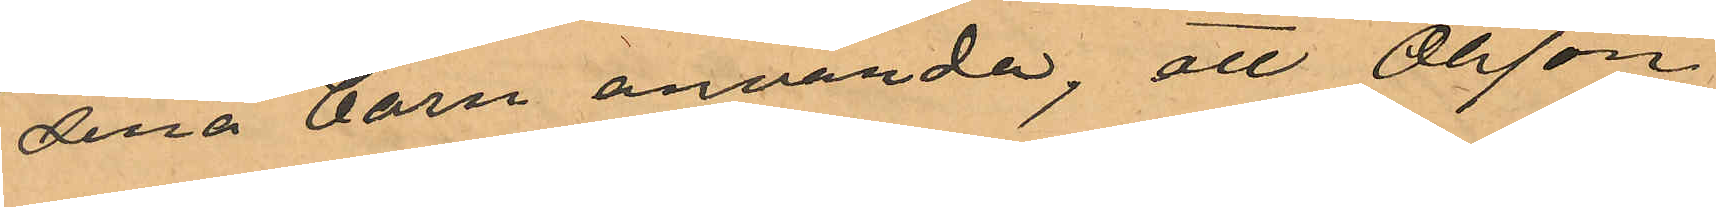sina barn använda, att Olsson
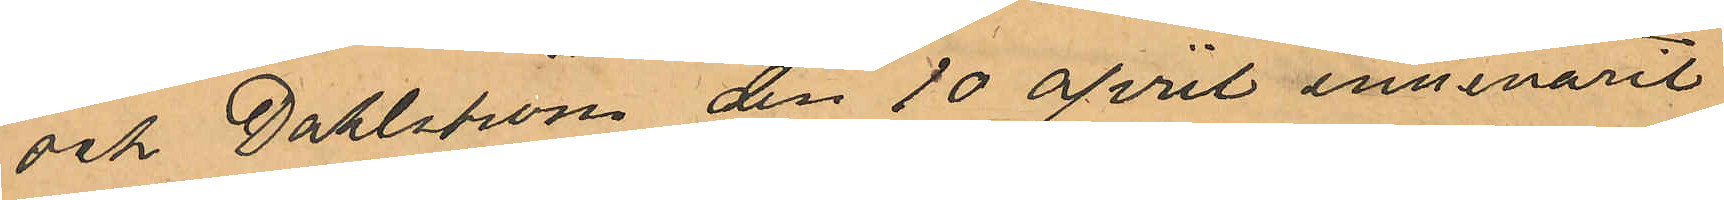och Dahlström den 10 april innevarit
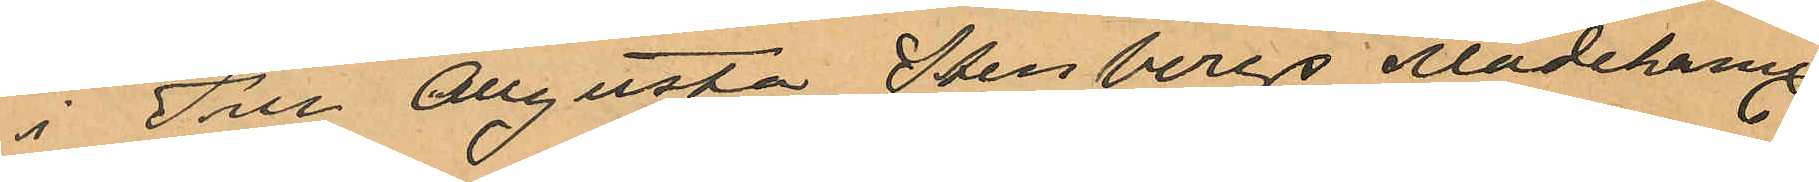i Fru Augusta Stenbergs modehand.
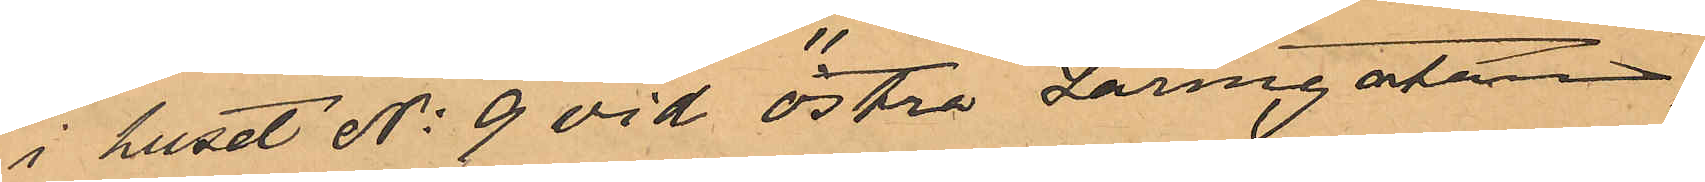i huset No 9 vid Östra Larmgatan,
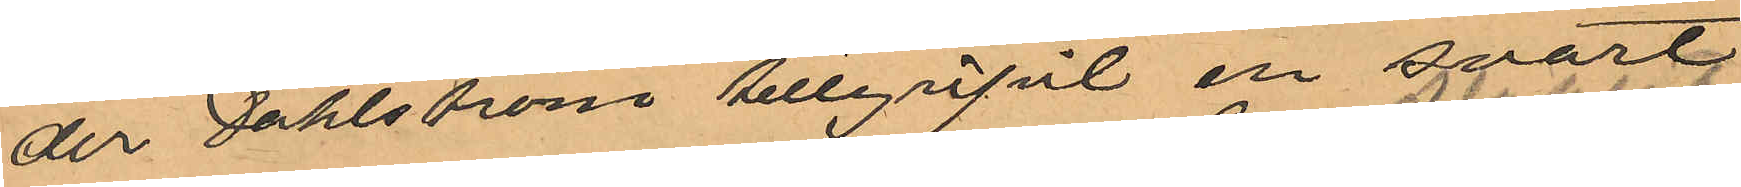der Dahlström tillgripnt en svart
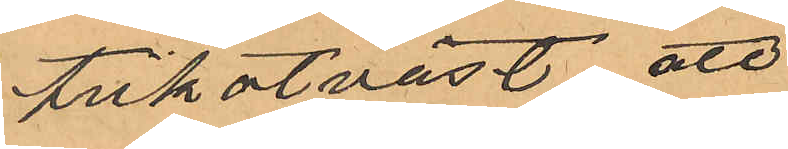trikotväst att
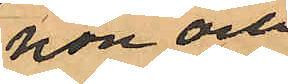hon och
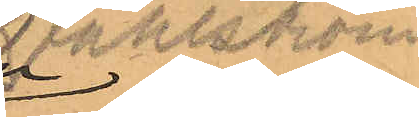Dahlström
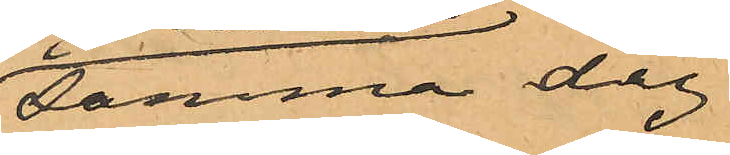samma dag
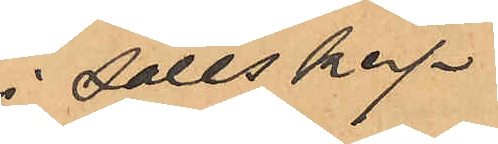i sällskap
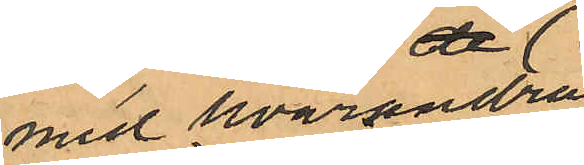med hvarandra
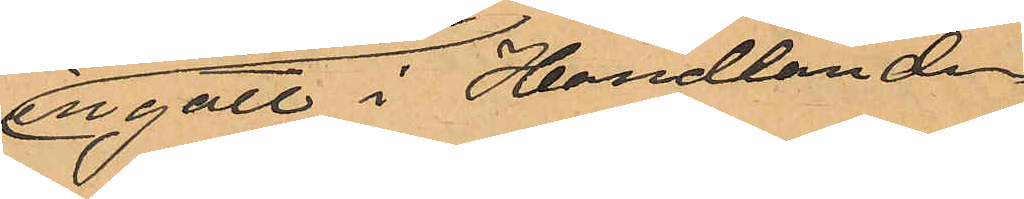ingått i Handlanden
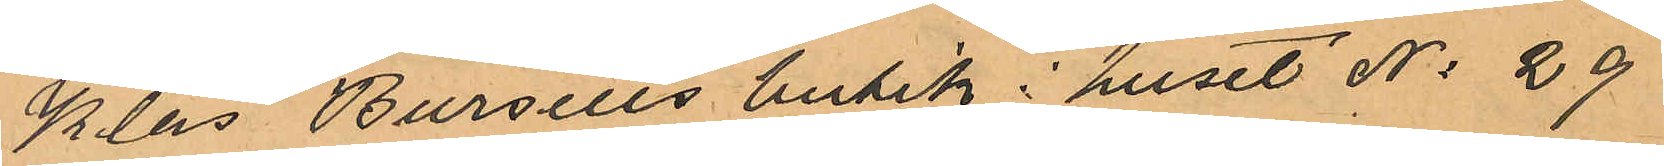Klas Bursells butik i huset No 29
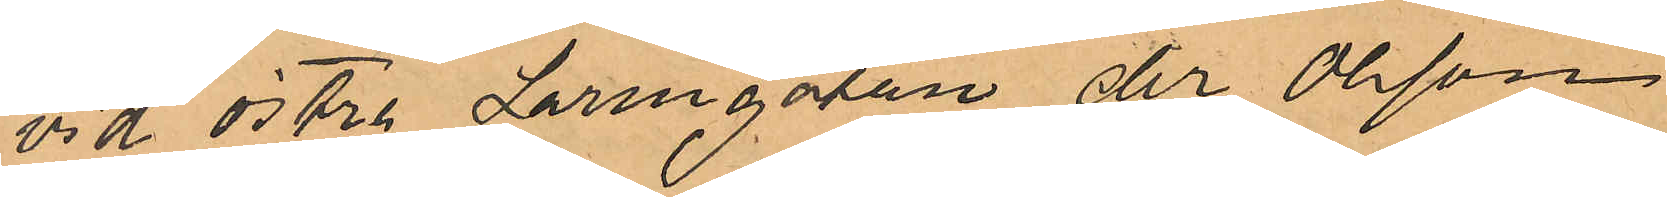vid Östra Larmgatan der Olsson
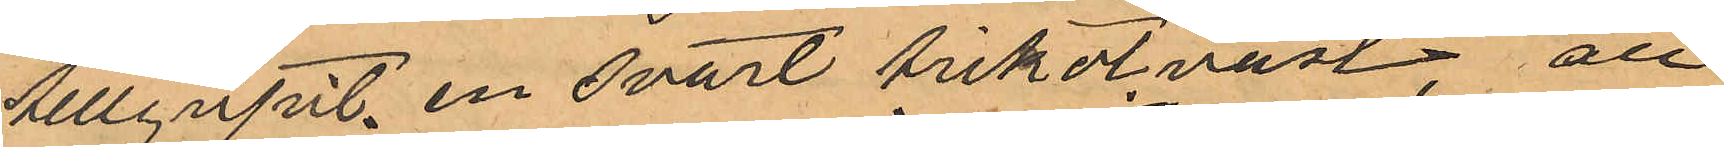tillgripit en svart trikotväst; att
